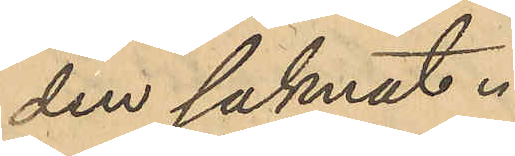den saknat.
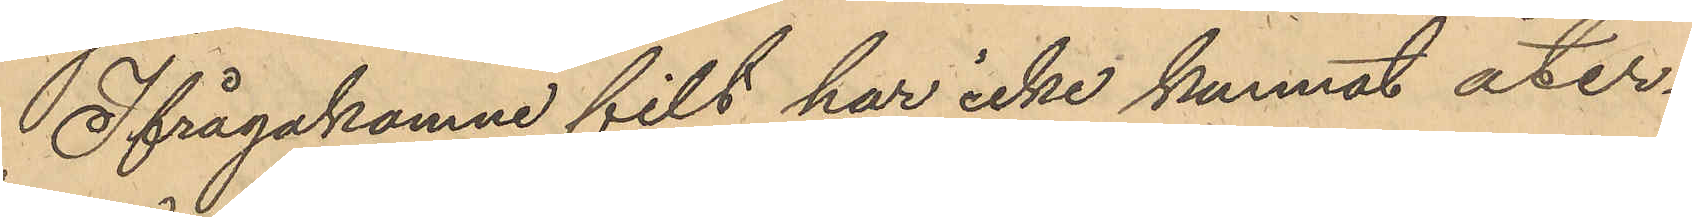Ifrågakomne filt har icke kunnat åter¬
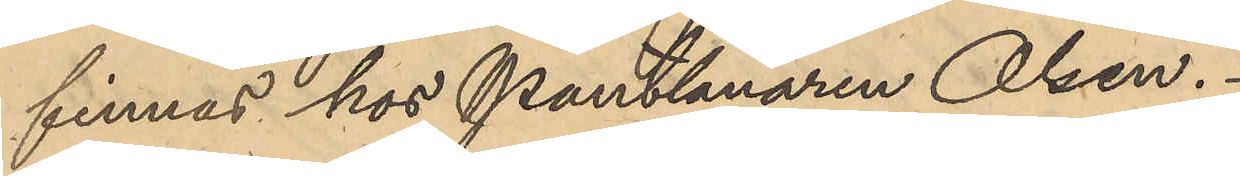finnas hos Pantlånaren Olsen.
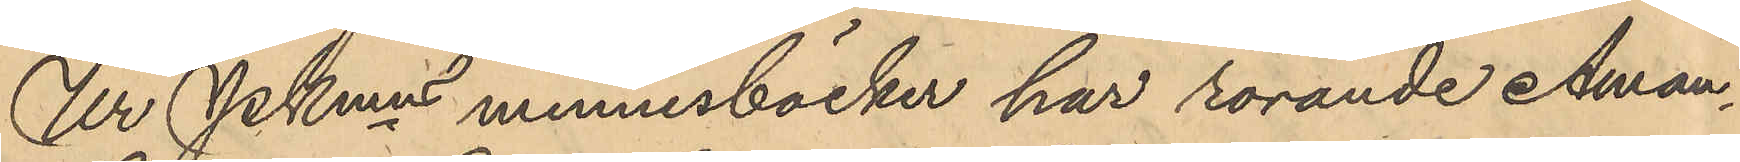Ur Pkmns minnesböcker har rörande Aman¬
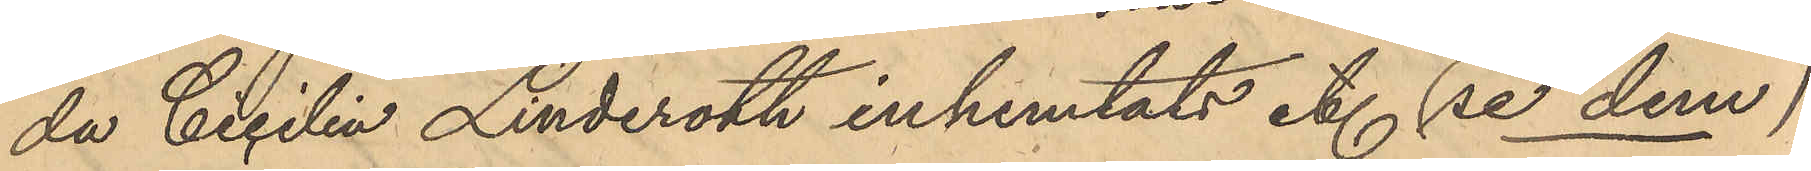da Cicilin Linderoth inhemtats et. (se dem)
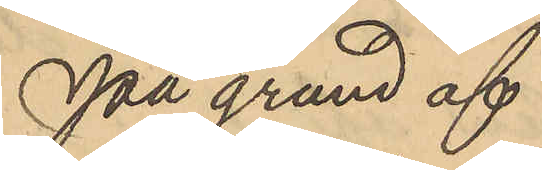På grund af
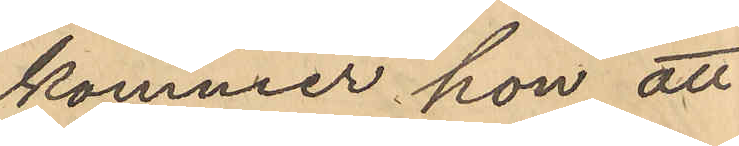kommer hon att
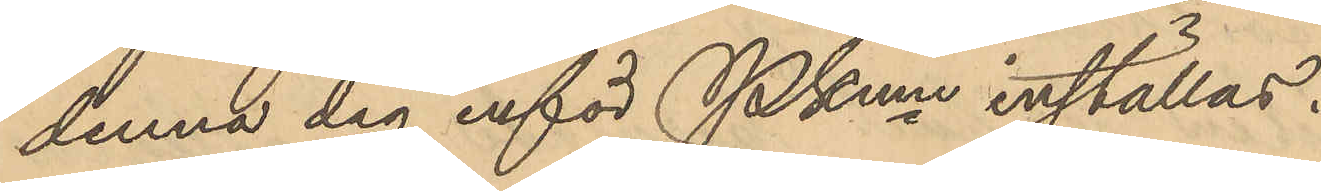denna dag inför Pkmn inställas.
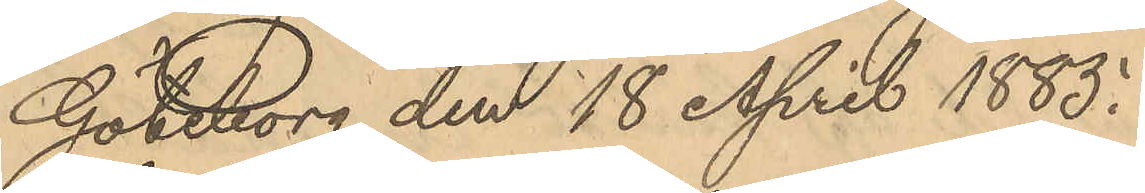Göteborg den 18 April 1885.
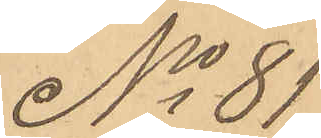No 81
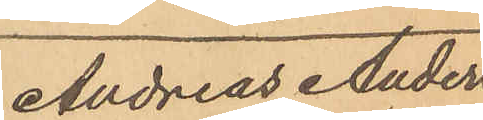Andreas Ander¬
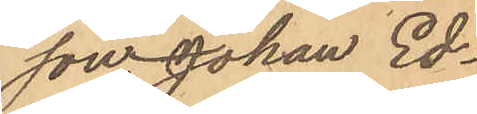son, Johan Ed¬
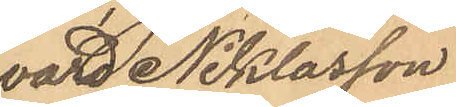vard Niklasson
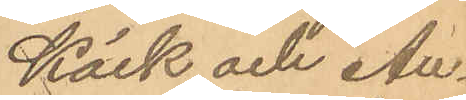Käck och An¬
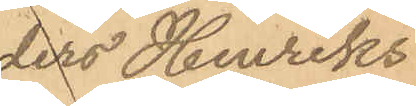ders Henriks¬
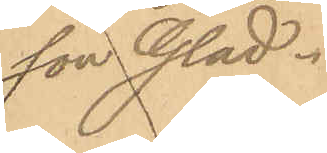son Glad.
